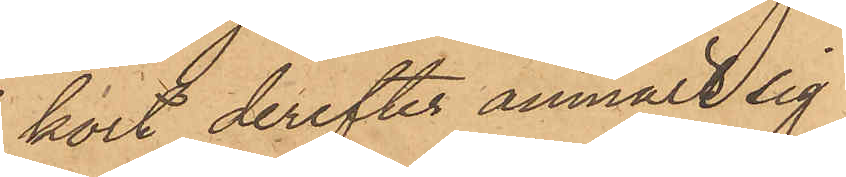kort derefter anmält sig
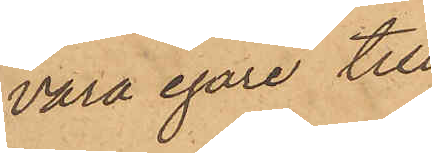vara egare till
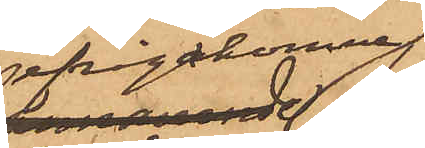ifrågakomne
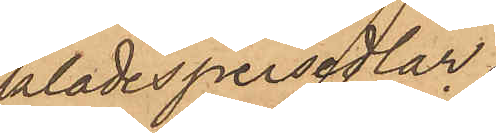klädespersedlar,
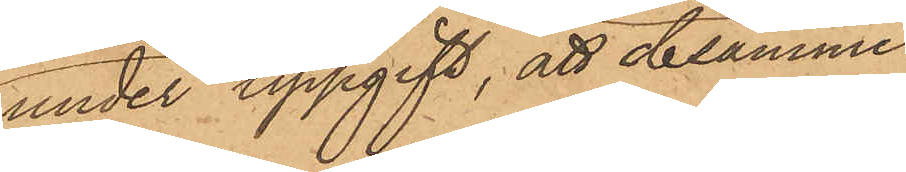under uppgift, att desamme
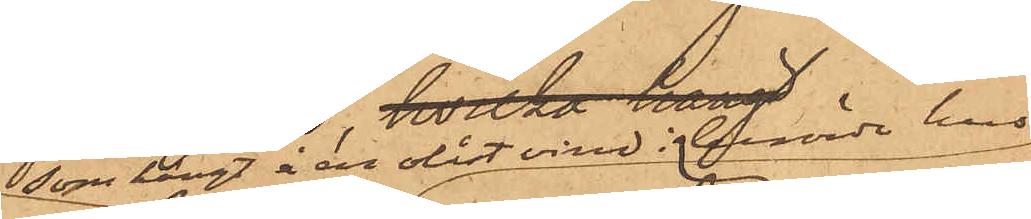som hängt å en låst vind i berörde hus
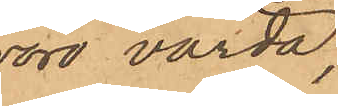voro värda,
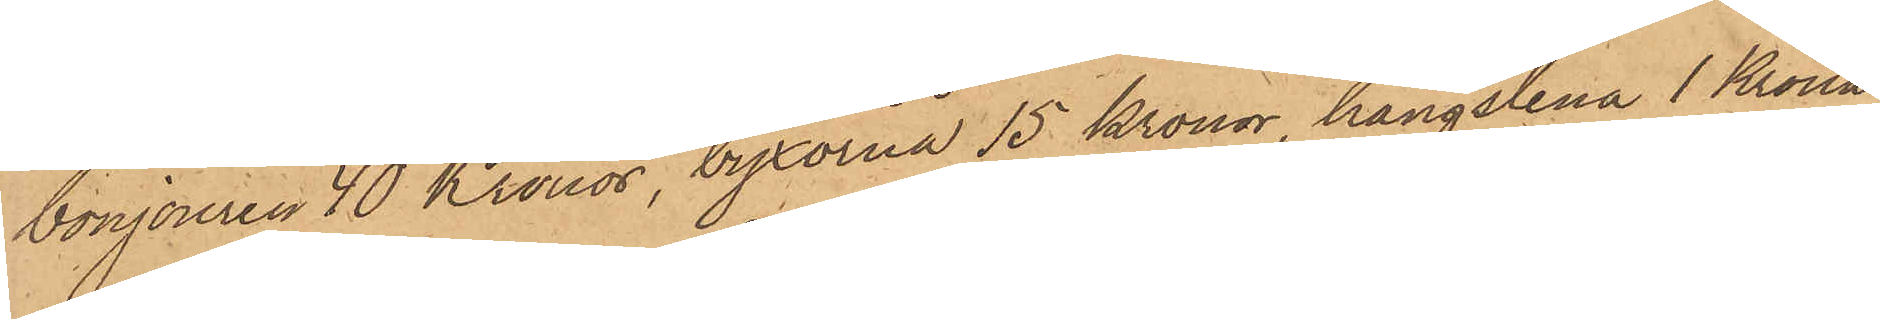bonjouren 40 Kronor, byxorna 15 kronor, hängslena 1 Krona
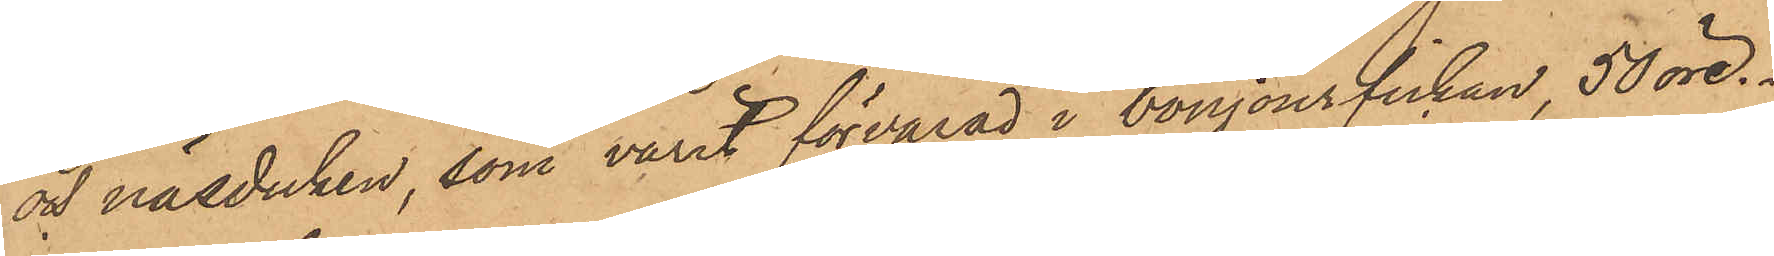och näsduken, som varit förvarad i bonjourfickan, 50 öre.
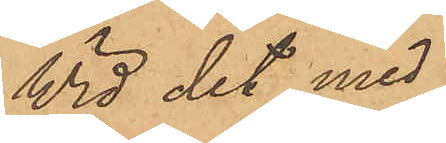Wid det med
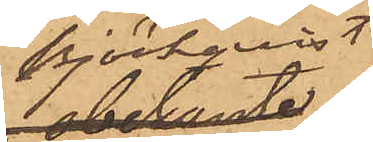Björkqvist
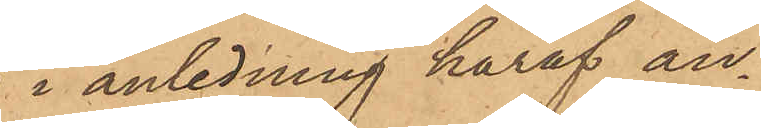i anledning häraf an¬
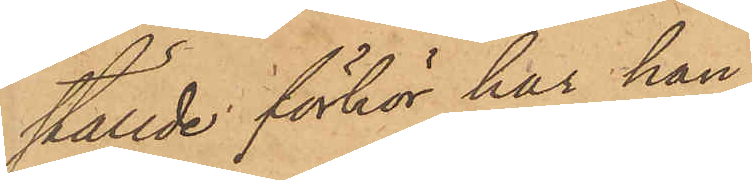ställde förhör har han
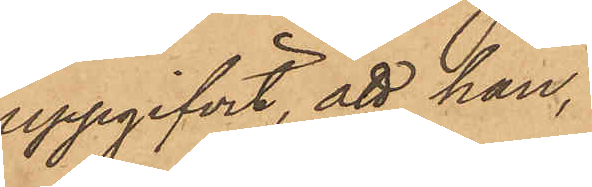uppgifvit, att han,
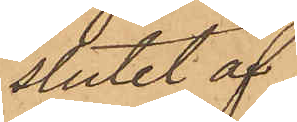i slutet af
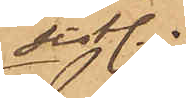sist.
